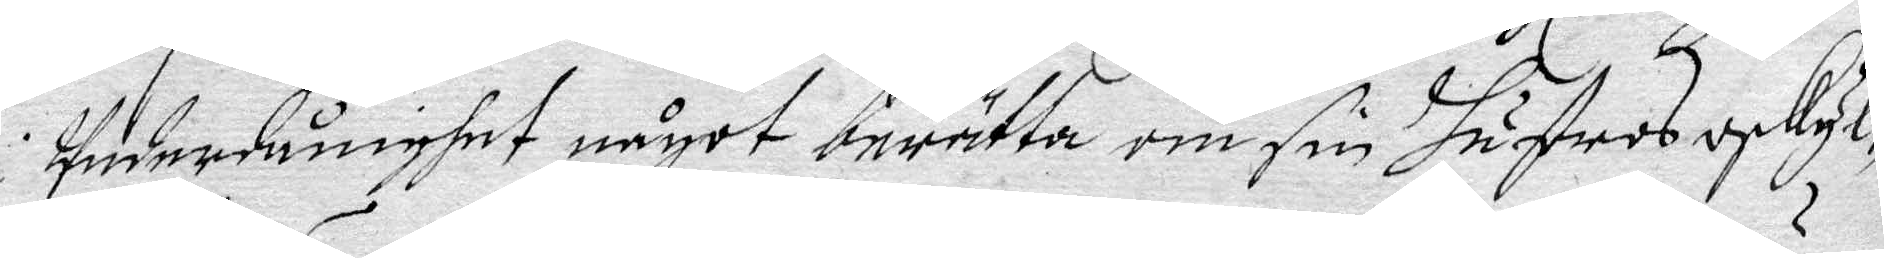Underdånighhet något berätta om sin Hustrus oskyl¬
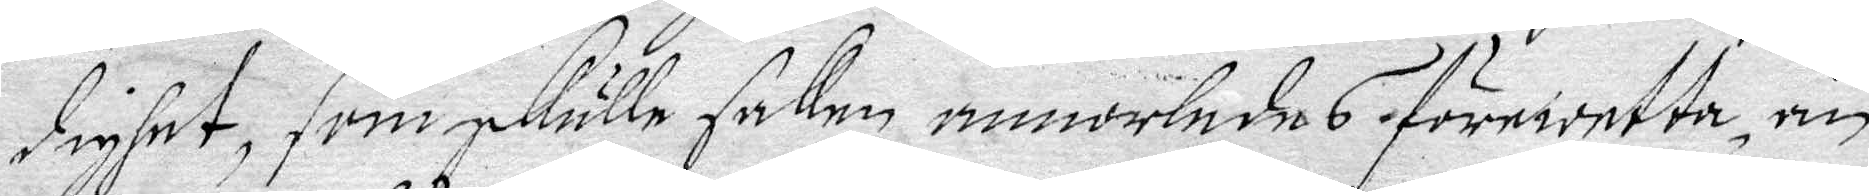dighet, som skulle saken annorledes förewetta än
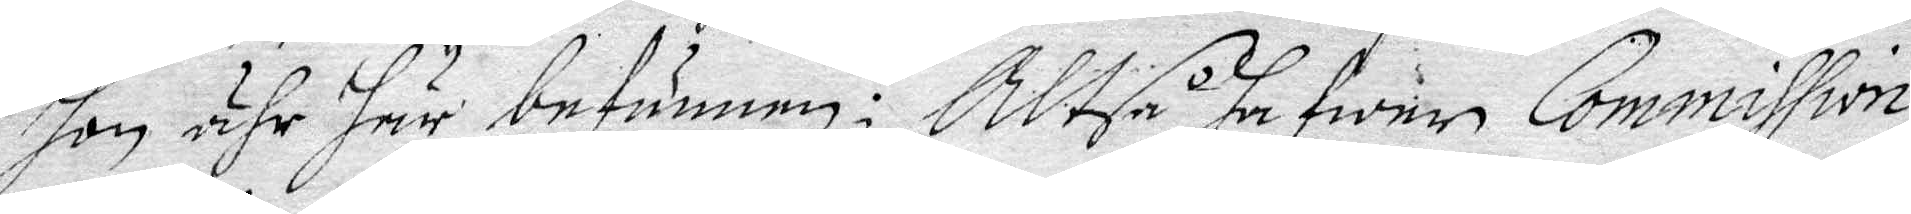hon ähr här befunnen; Altså hawer Commission
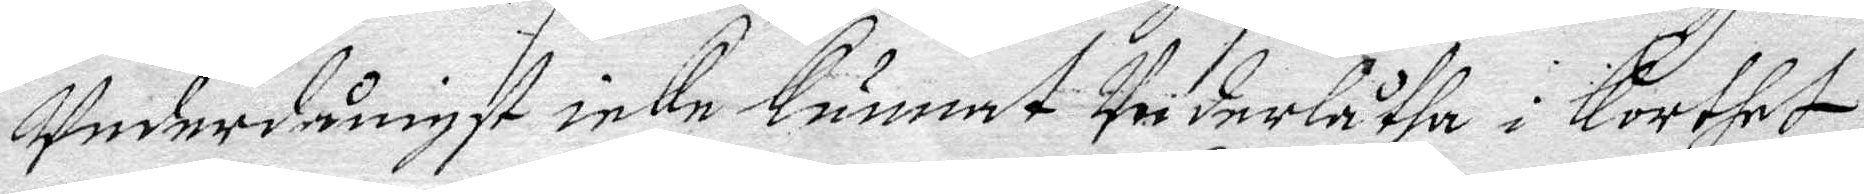Underdånigst icke Kunnat Underlåtha i Korthet
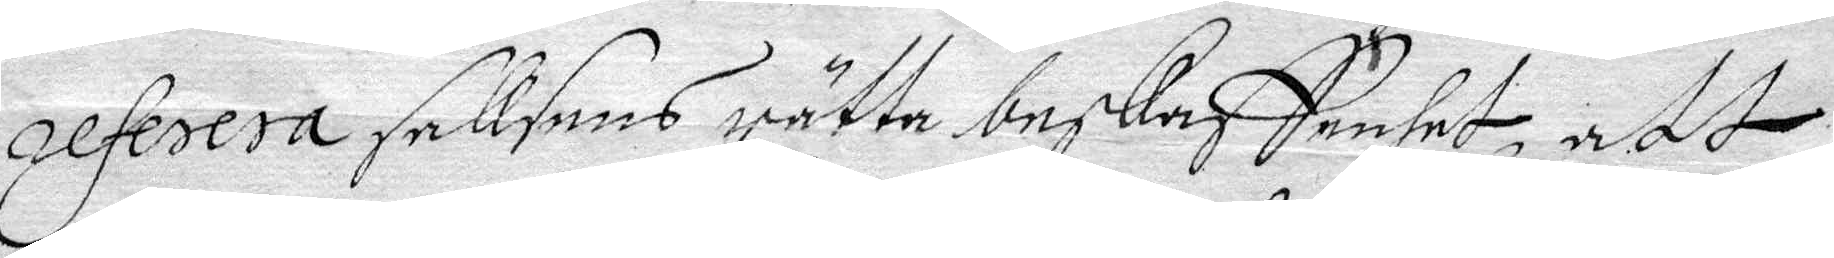referera saksens rätta beskaffenhet, att
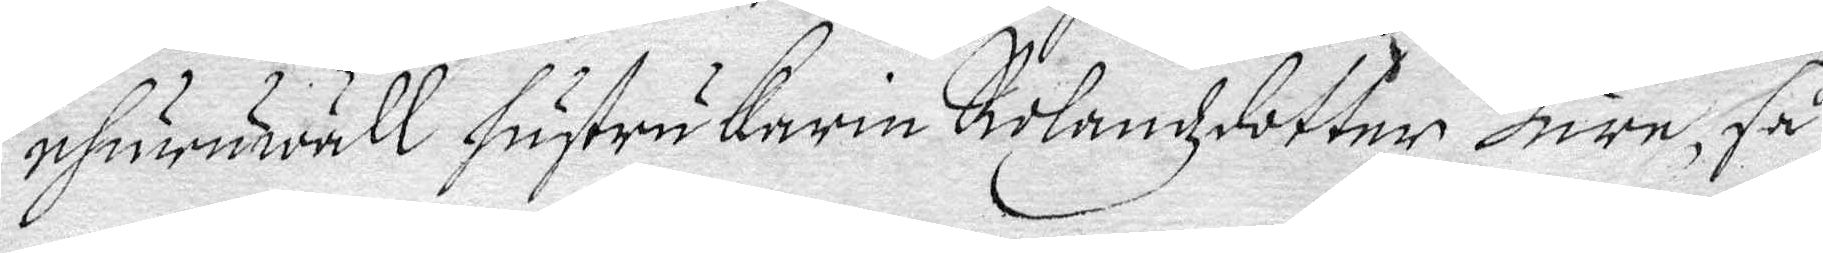ehuruwäll hustru Karin Rolandzdotter Bure, så
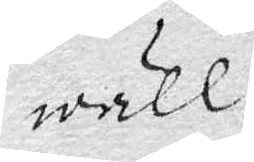wäll
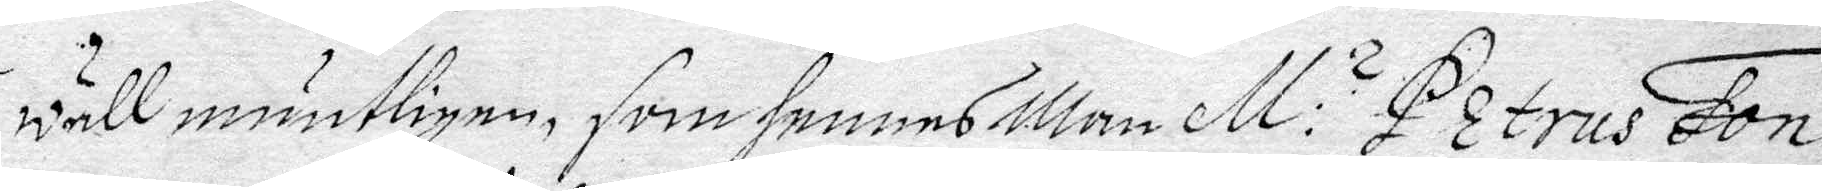wäll muntligen som hennes Man M: s Petrus Fon¬
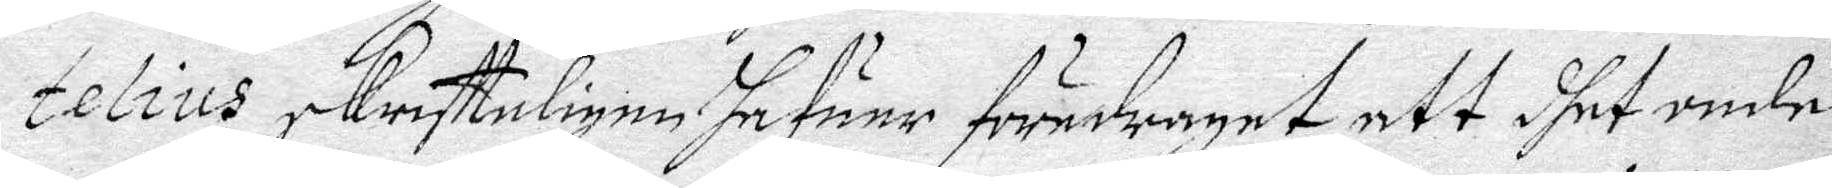telius skriffteligen hafuer föredragiet, att dhet onde
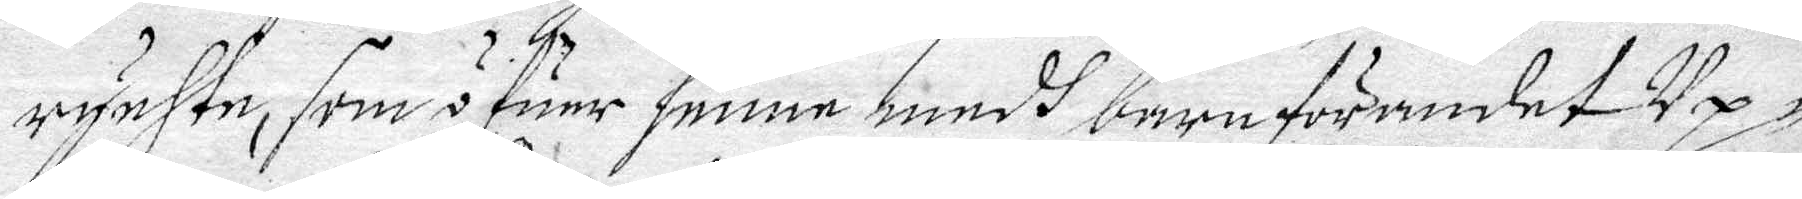rychte, som ofuer henne medh barnförandet Up¬
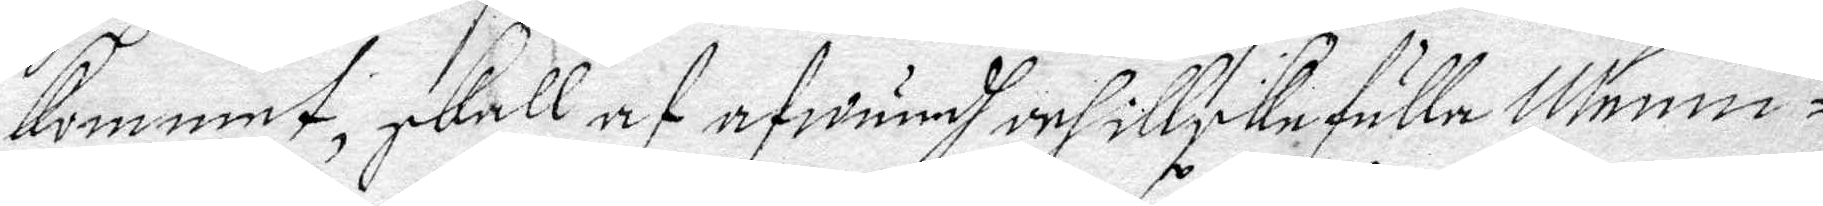kommet, skall af afwundh och illskefulla Menni¬
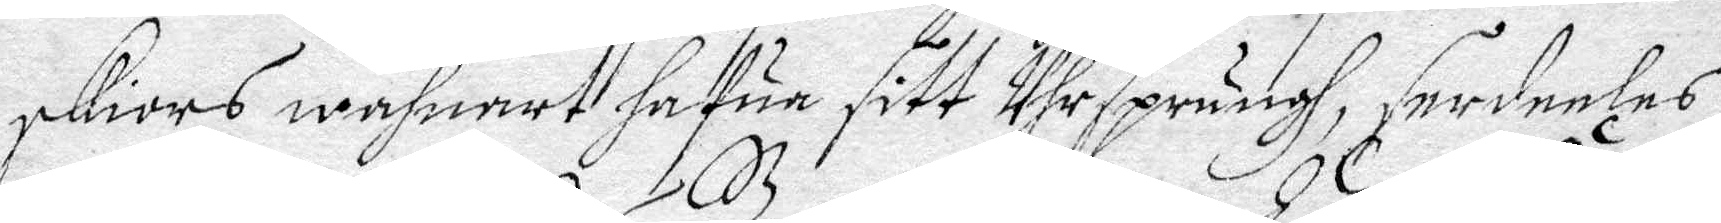skiors wahnart hafur sitt Uhrsprungh, särdeeles
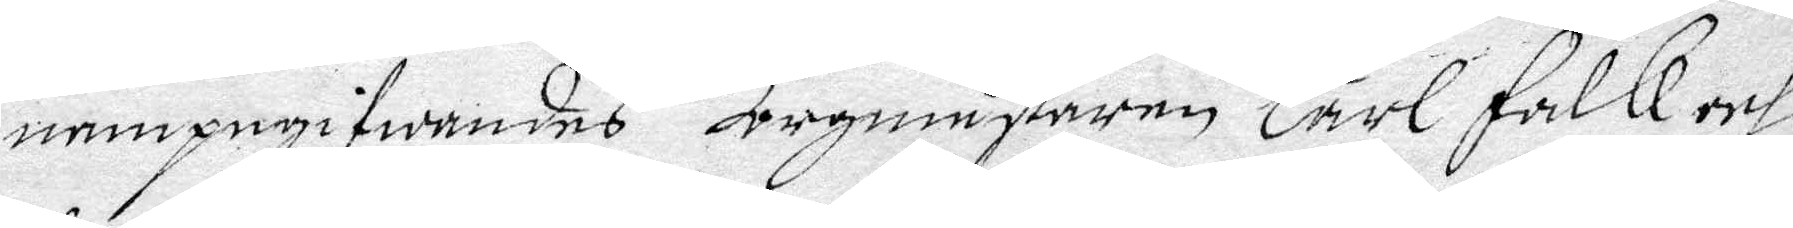nampngifwandes Borgmästaren Carl Falk och
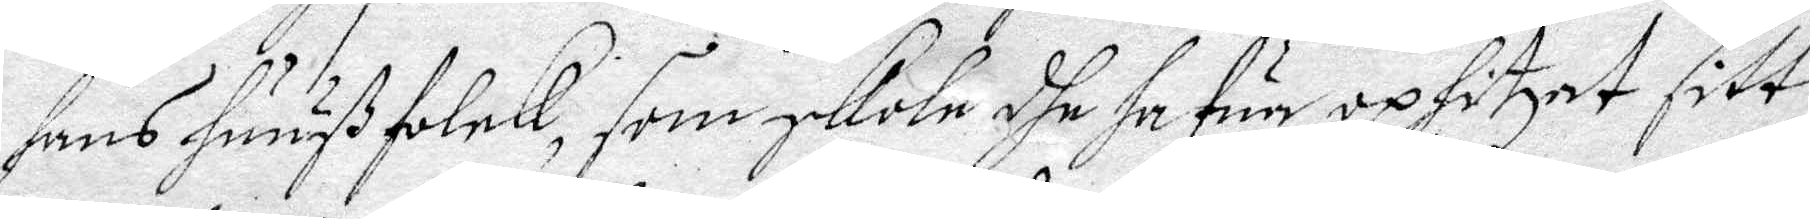hans huuß folck, som skole dhe hafur uphitzat sitt
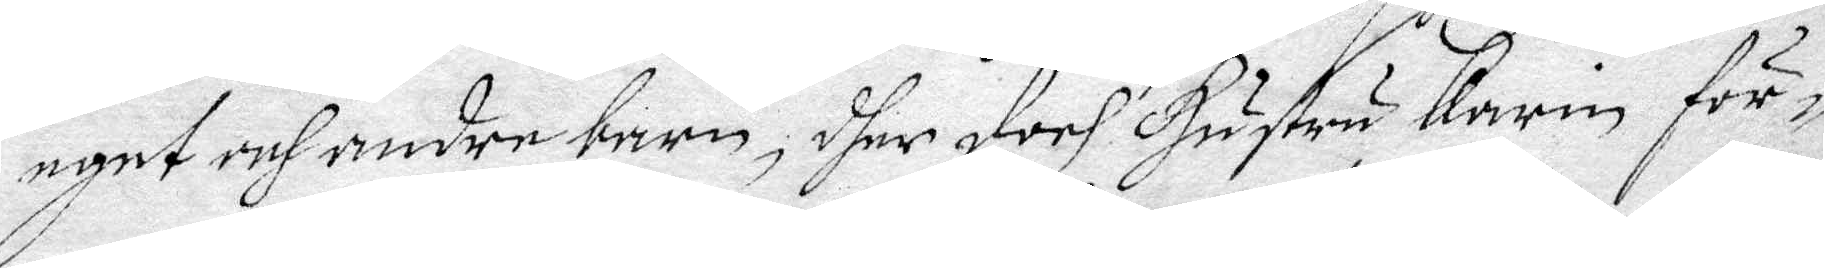eget och andre barn, dher doch Hustru Karin för¬
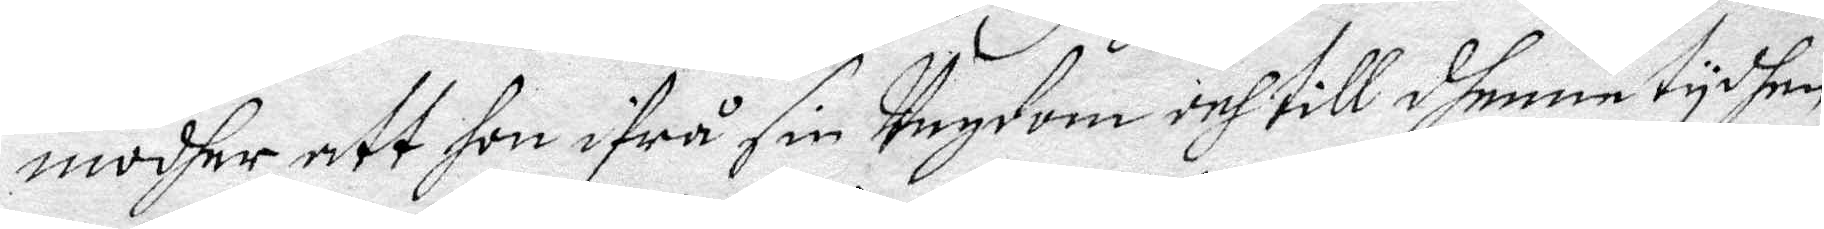modhar att hon ifrå sin Ungdom och till dhenne tydhen
